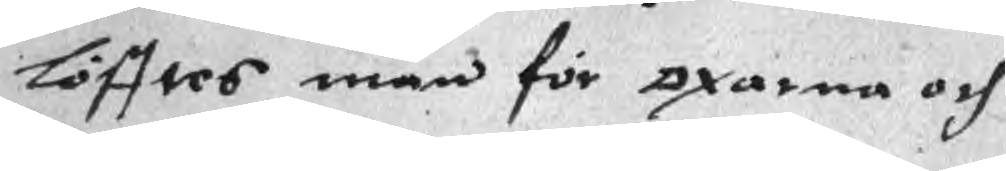löfftes män för oxarna och
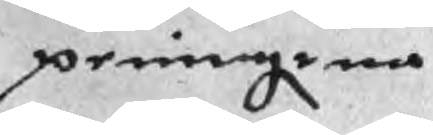peningrna
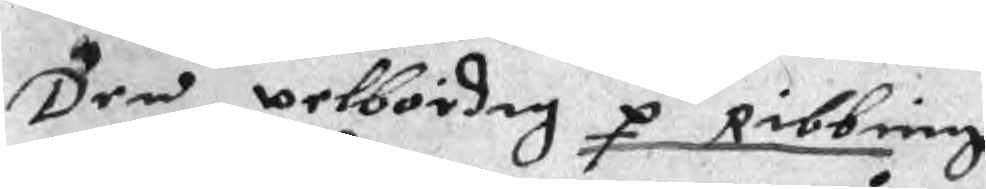Den welbördig p Ribbing
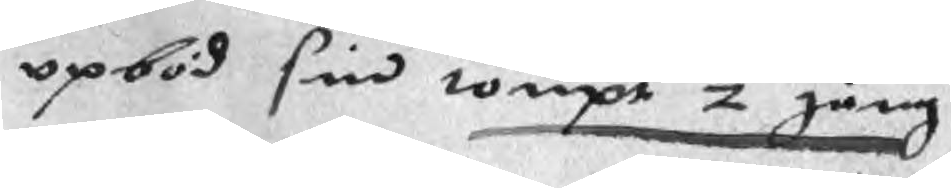opböd sin tompt 2 gång
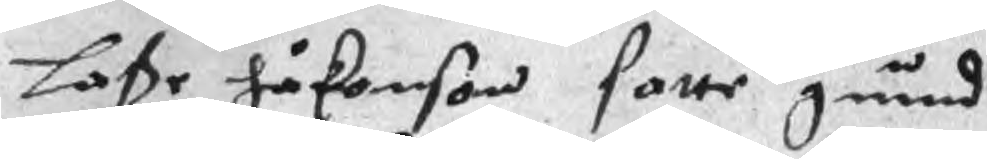Laße Håkonson satte gund
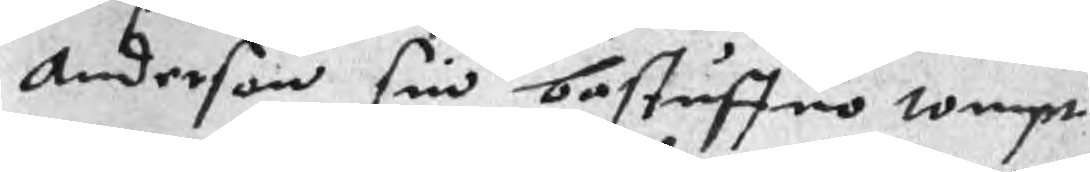Anderson sin bestuffuo tompt
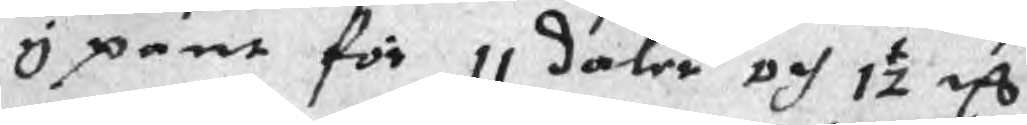i pant för 11 daler och 1½ mC
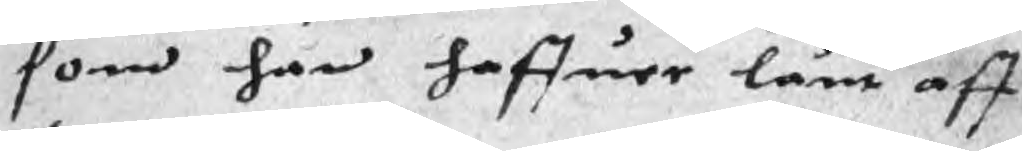som han haffuer lånt aff
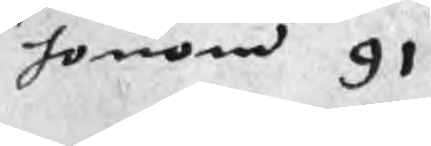honom 91
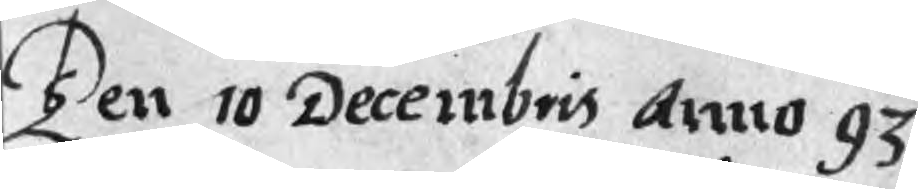Ten 10 Decembris Anno 93
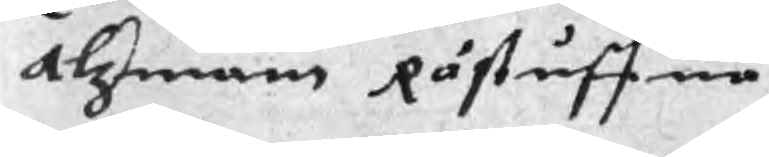Alzman Råstuffua
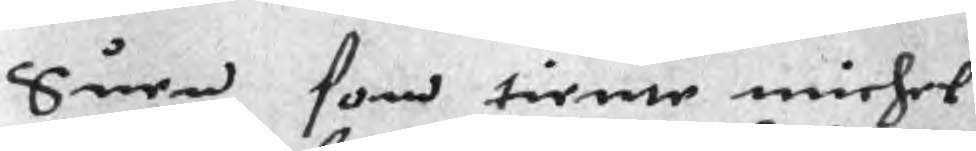Suen som tiente michel
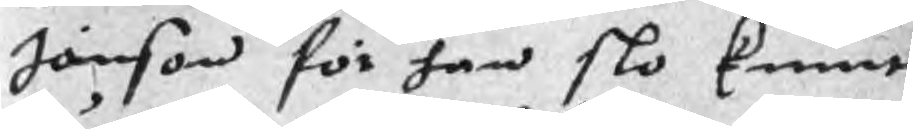Jönson för han slo knut
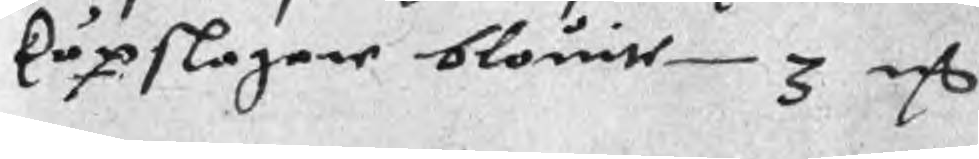köpslagare blouite 3 mC
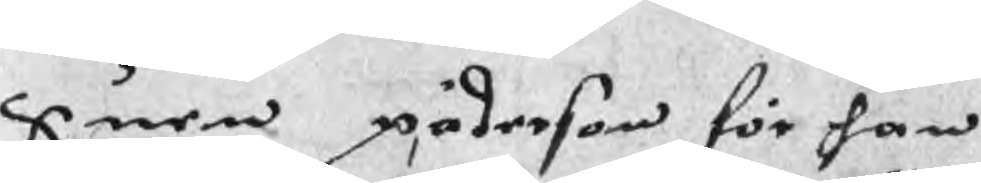Suen päderson för han
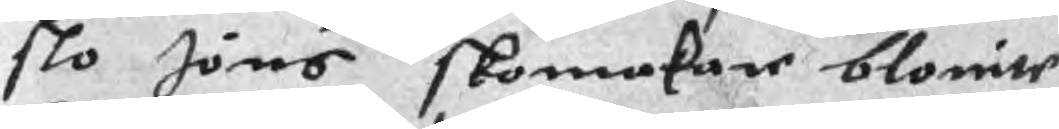slo Jöns skomakare blovite
